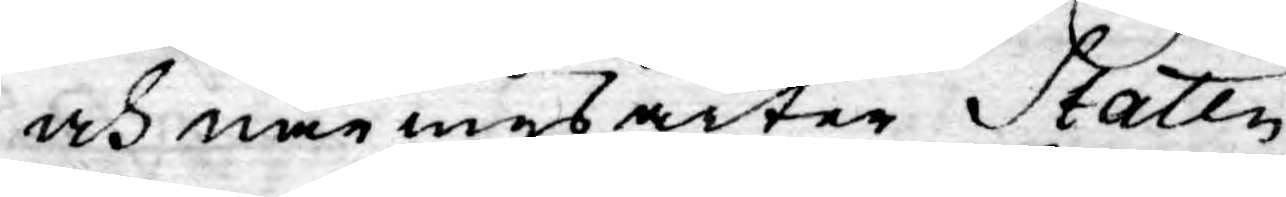och näringsarter Staten
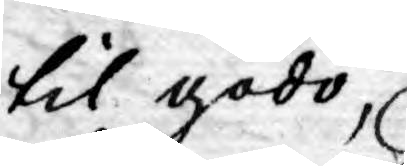til godo,
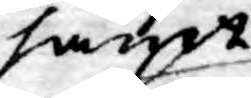samt
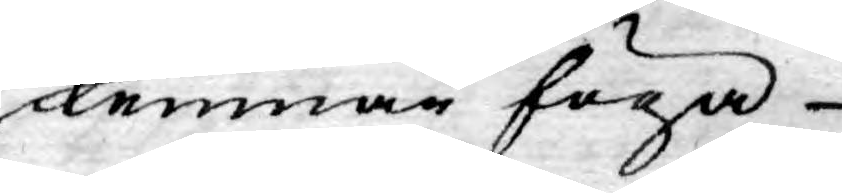lemnar föga
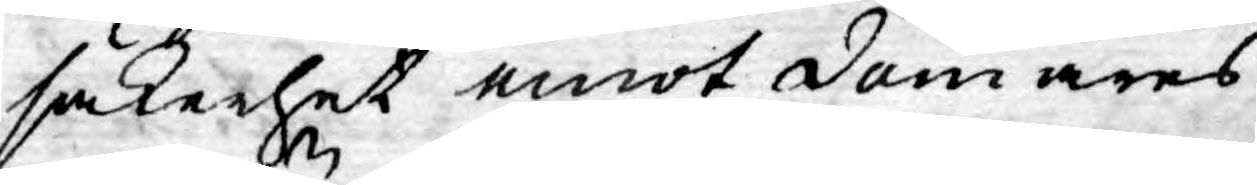säkerhet emot domares
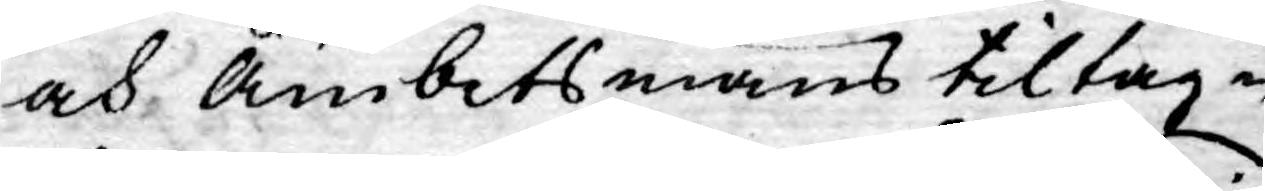och Ämbetsmäns tiltag¬
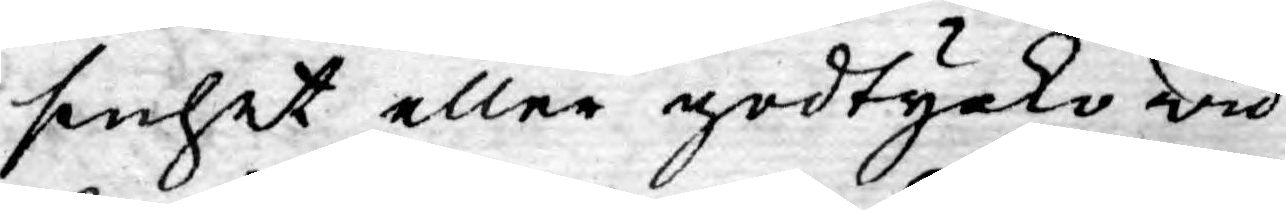senhet eller godtycko wid
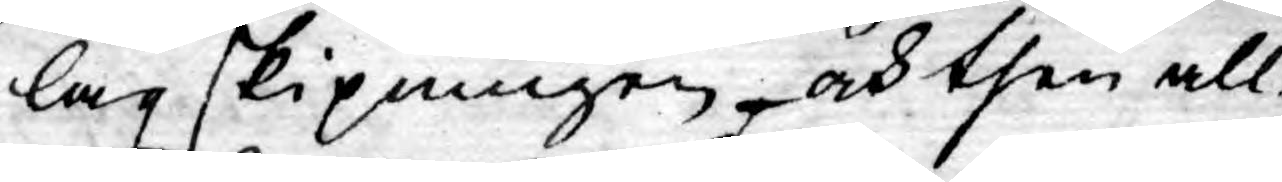lagskipningen, och then all¬
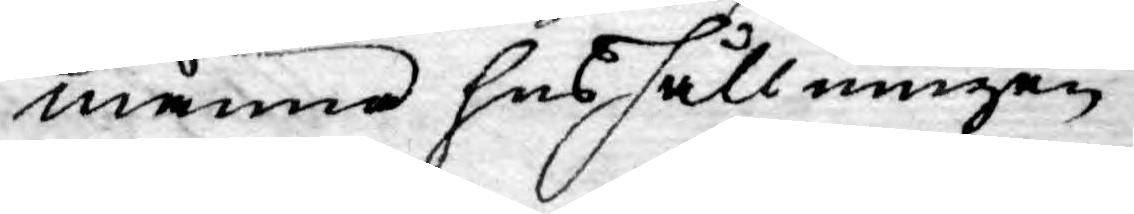männe hushållningen,
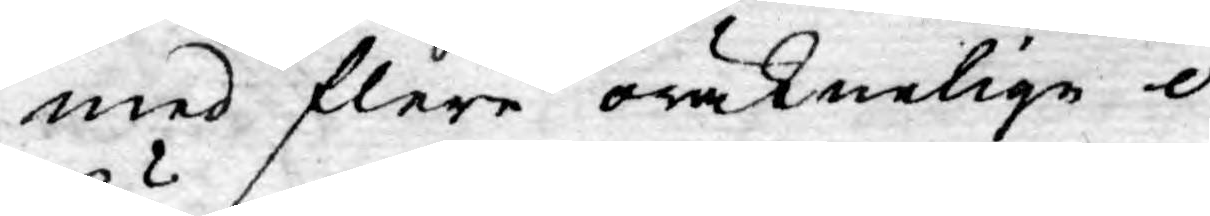med flere oräknelige o¬
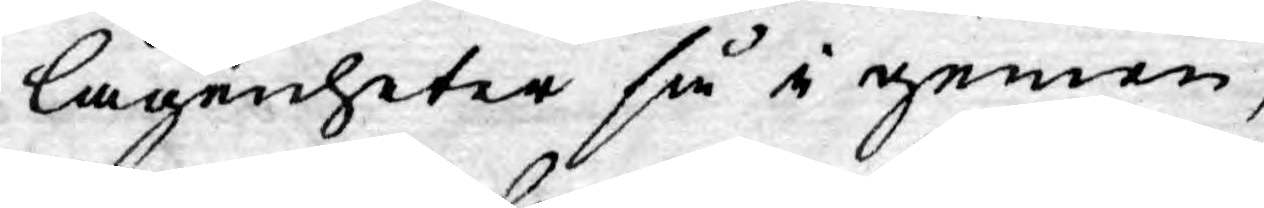lägenheter så i gemen,
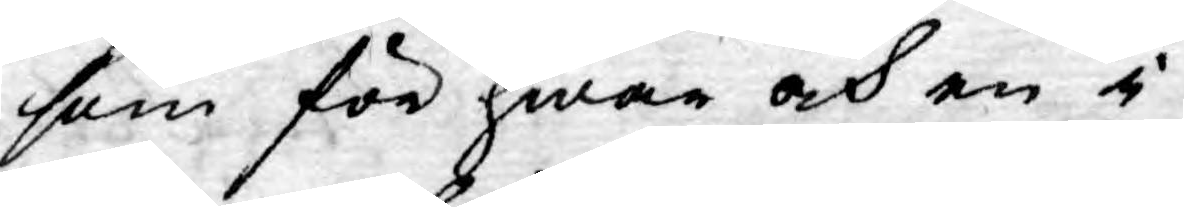som för hwar och en i
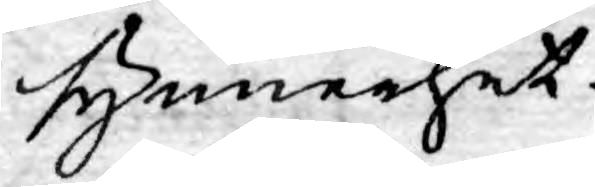synnerhet.
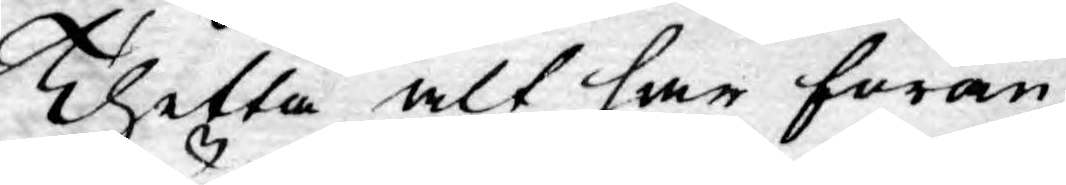Thetta alt har föran¬
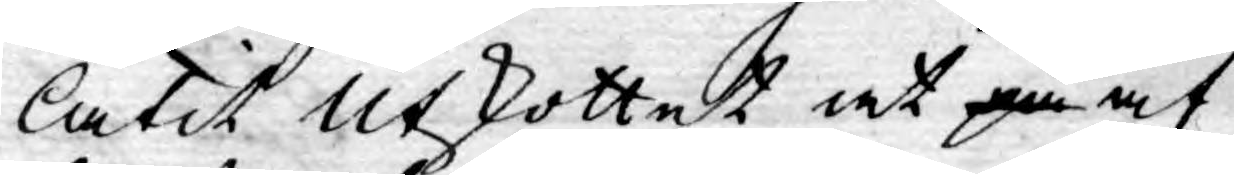låtit Utskottet at på af
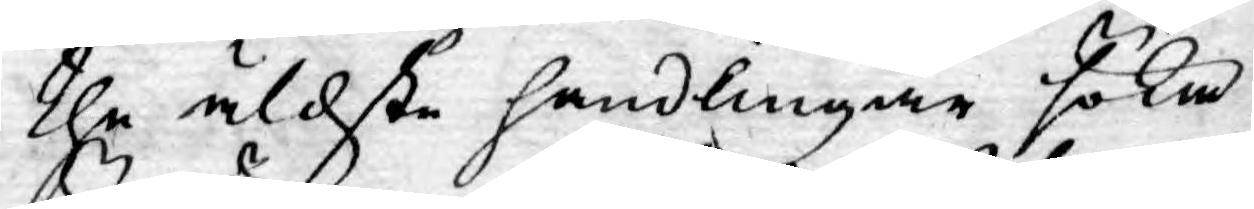the äldste handlingar söka
